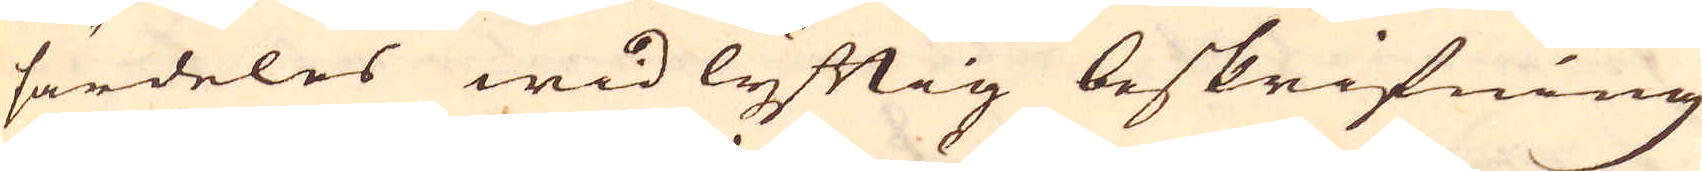särdeles wid lyftig beskrifning
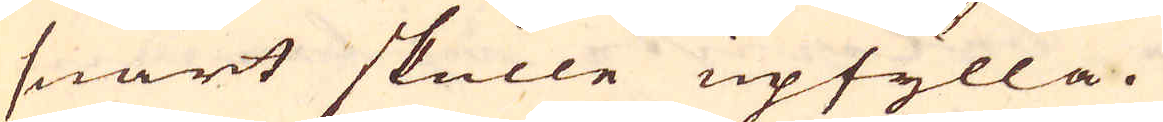snart skulle upfylla.
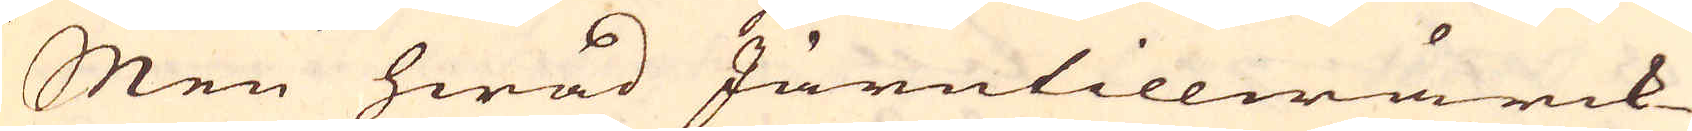Men hwad Järntillwärck-
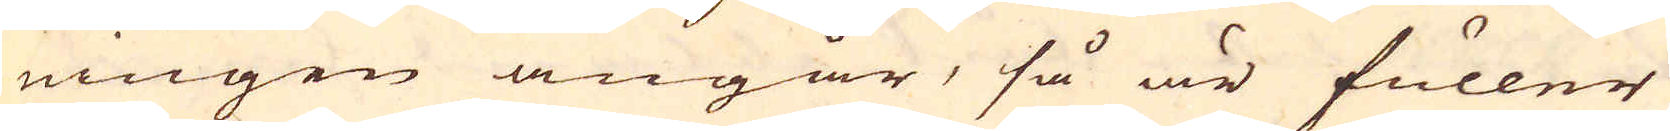ningen angår, så är fuller
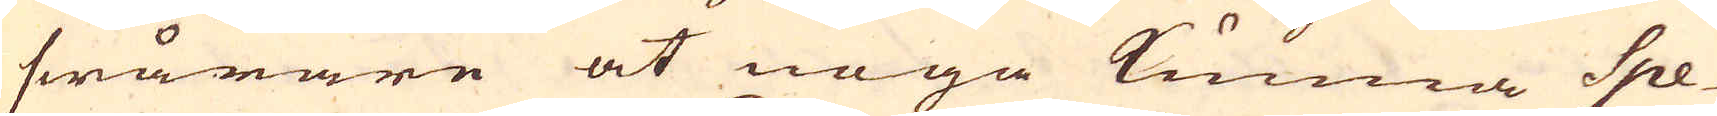swårare at noga kunna Spe-
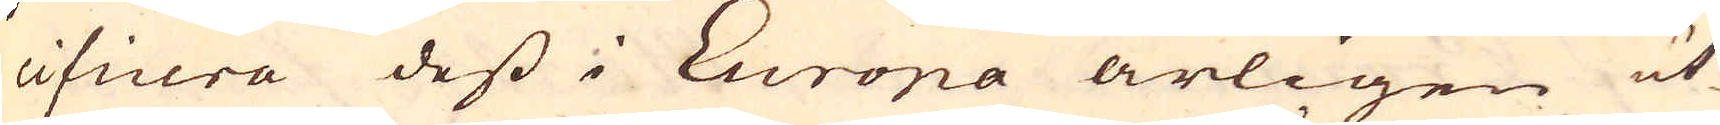cificera dess i Europa årligen ut-
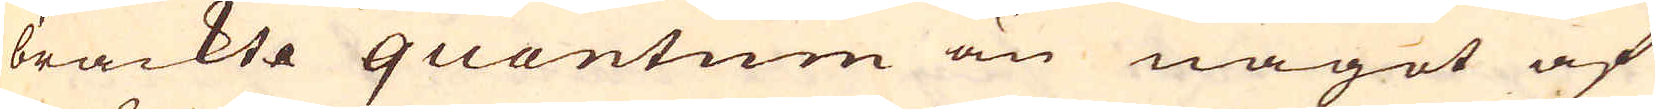brackte quantum än något af
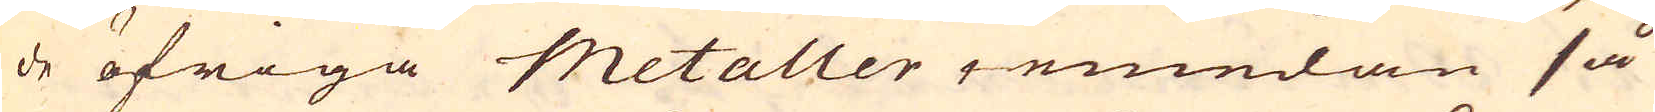de öfriga Metaller iemedan så
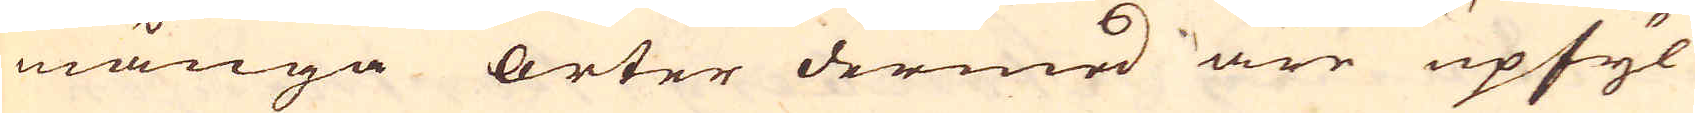många orter dermed äre upfyl-
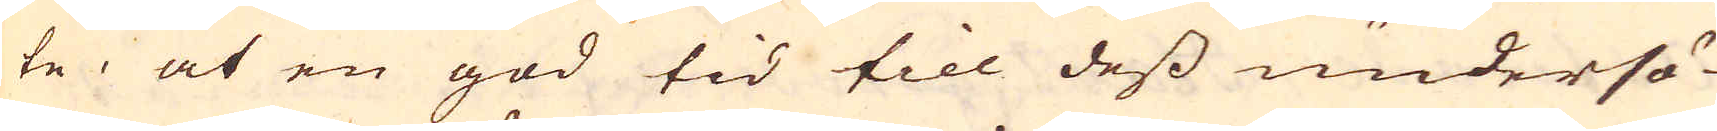te, at en god tid till dess undersö-
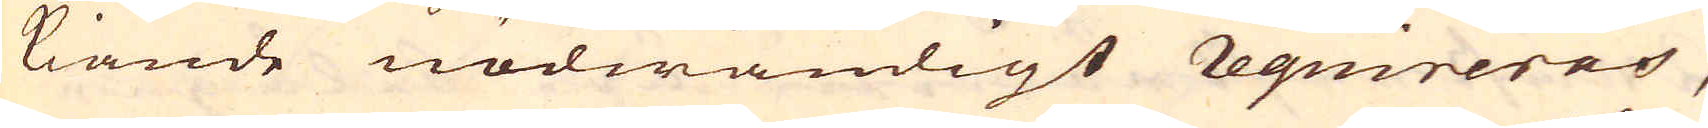kiande nödwändigt requireras,
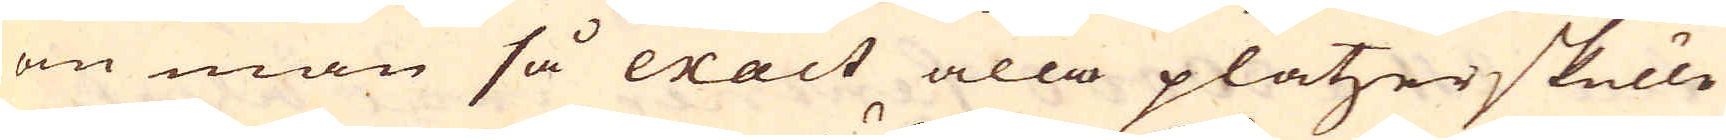om man så exact alla platzer skulle
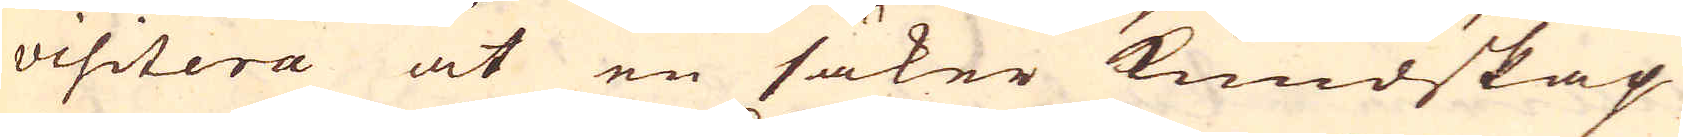visitera at en säker kundskap
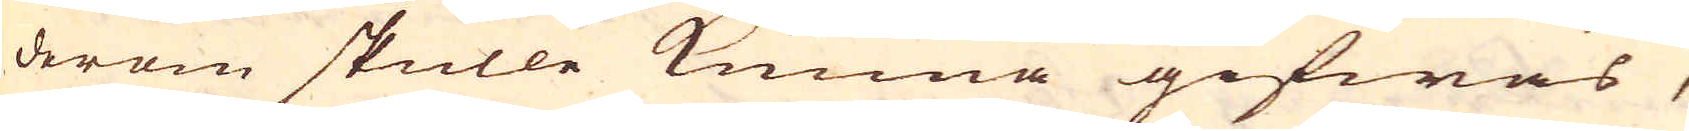derom skulle kunna gifwas,
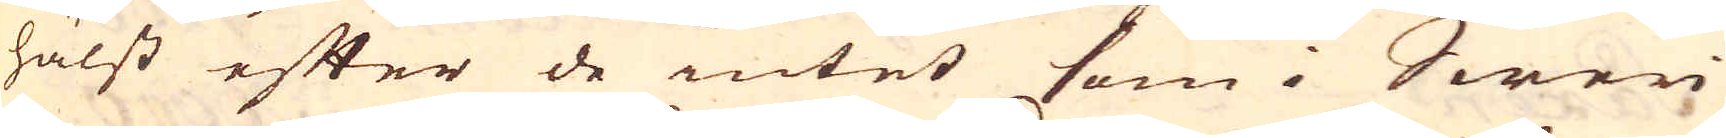hälst efter de intet som i Sweri-
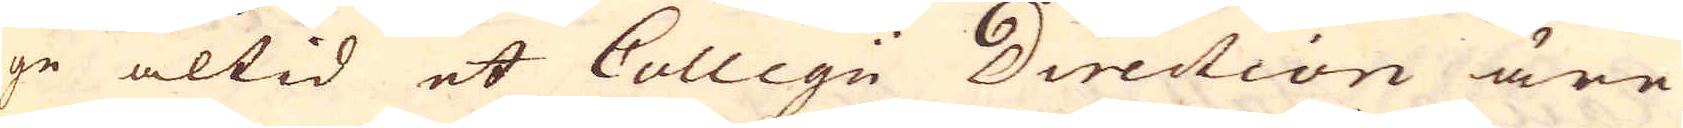ge altid et Collegi Direction äre
